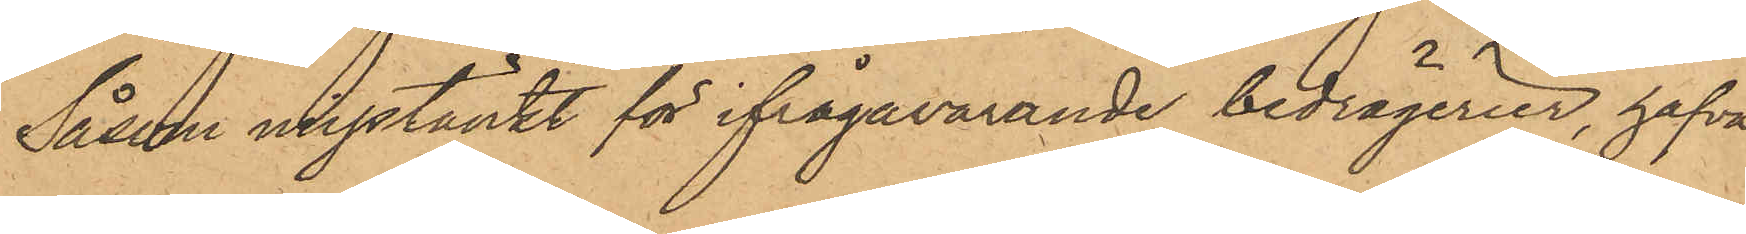Såsom misstänkt för ifrågavarande bedrägerier, hafva
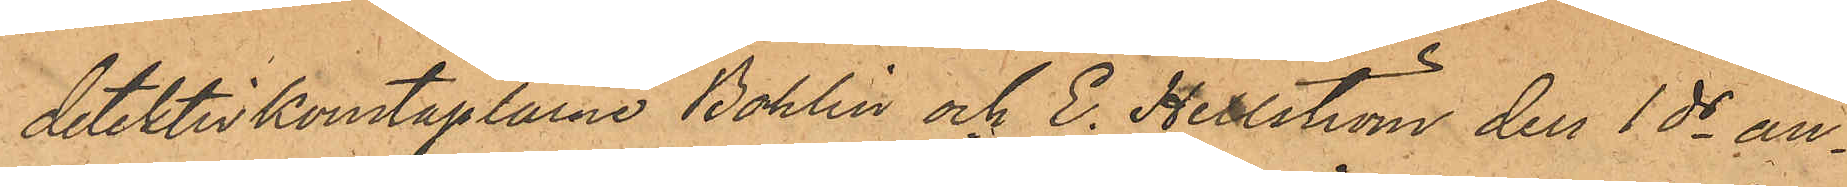detektivkonstaplarne Bohlin och E. Hellström den 1 ds an¬
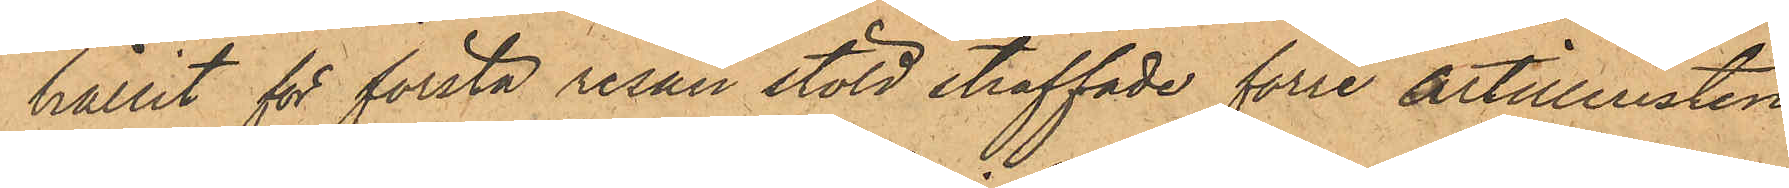hållit för första resan stöld straffade förre artilleristen
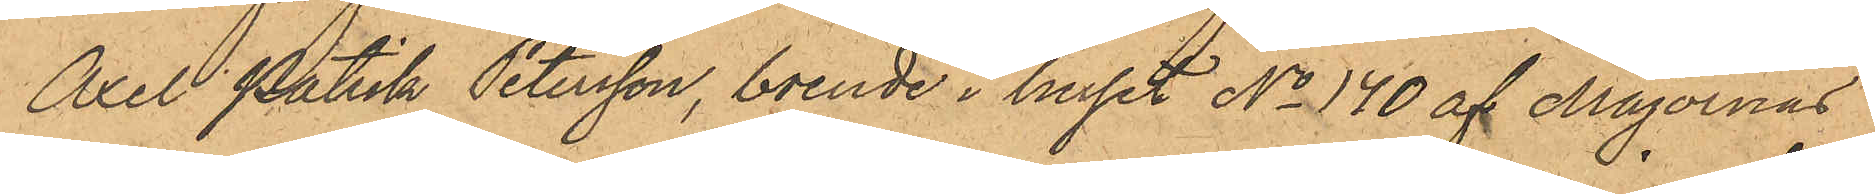Axel Patrik Petersson, boende i huset No 140 af Majornas
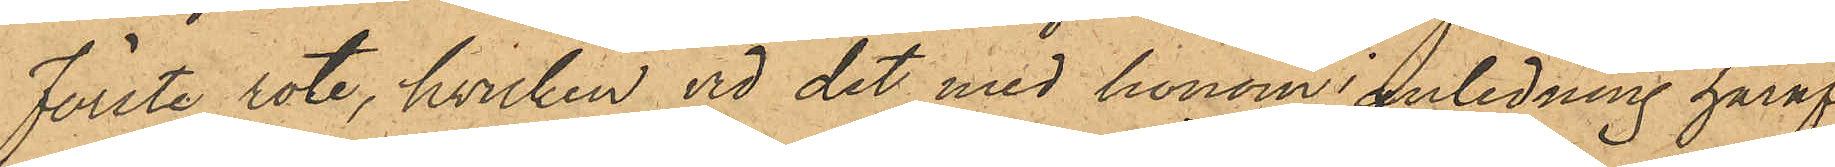Förste rote, hvilken vid det med honom anledning häraf
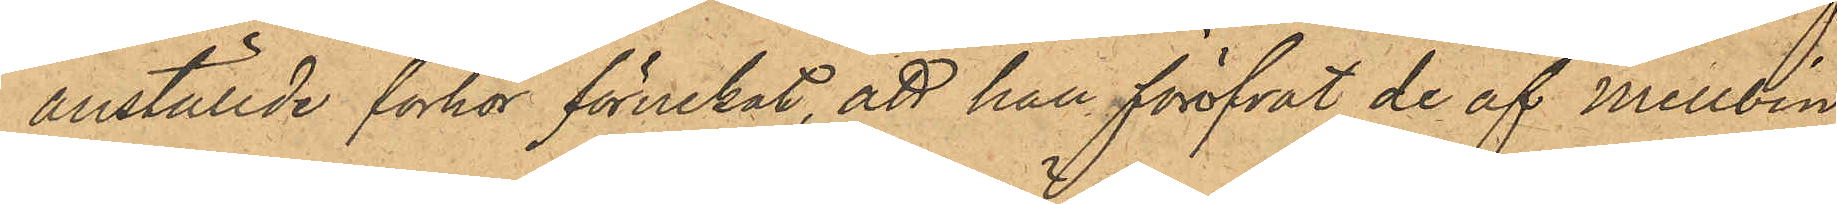anställde förhör förnekat, att han föröfvat de af Mellbin
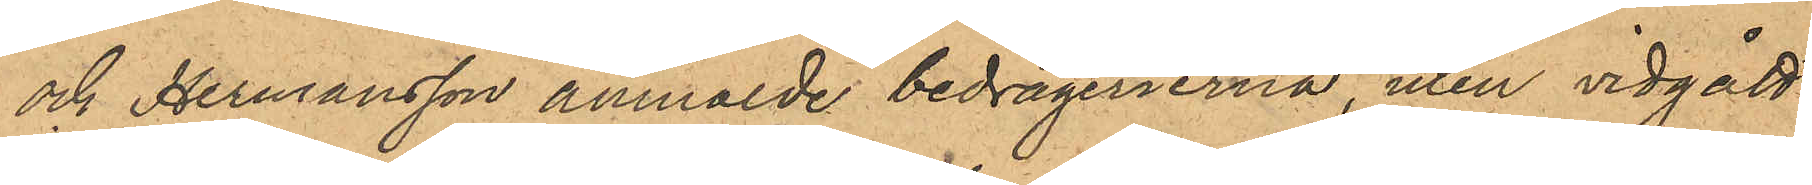och Hermansson anmälde bedrägerierna, men vidgått
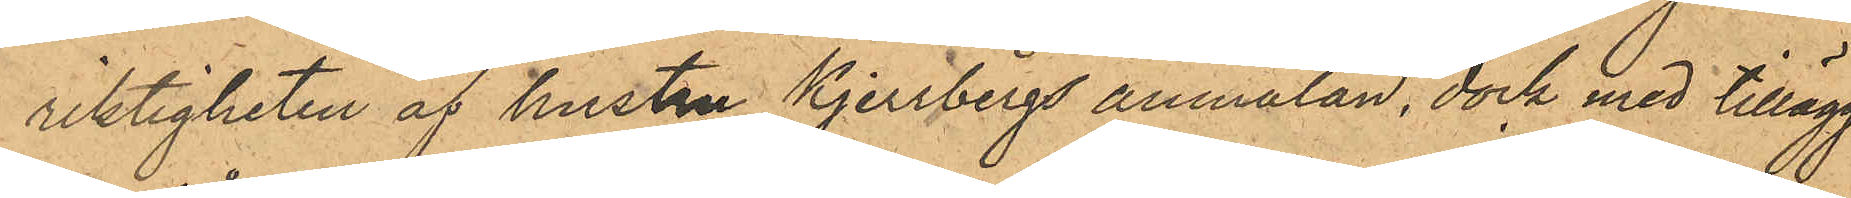riktigheten af hustru Kjerrbergs anmälan, dock med tillägg,
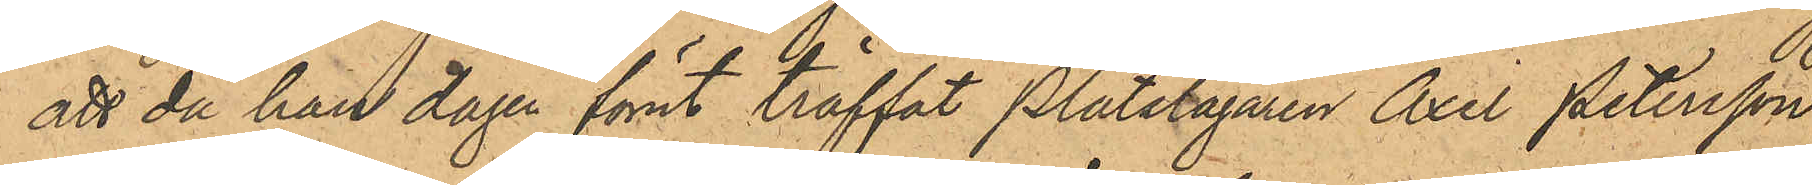att då han dagen förut träffat Plåtslagaren Axel Petersson,
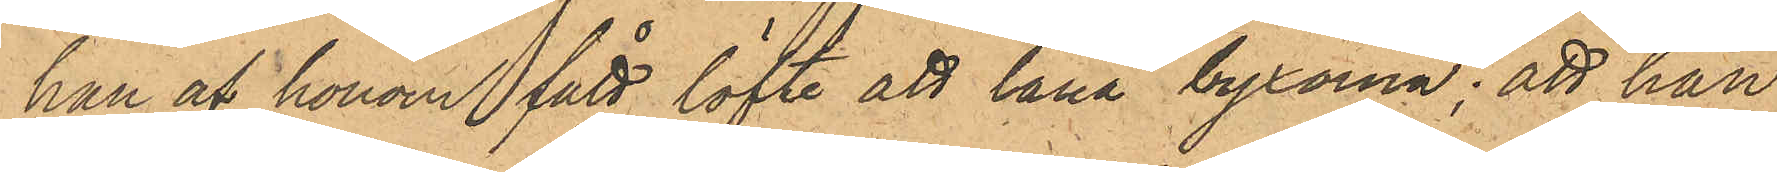han af honom fått löfte att låna byxorna; att han
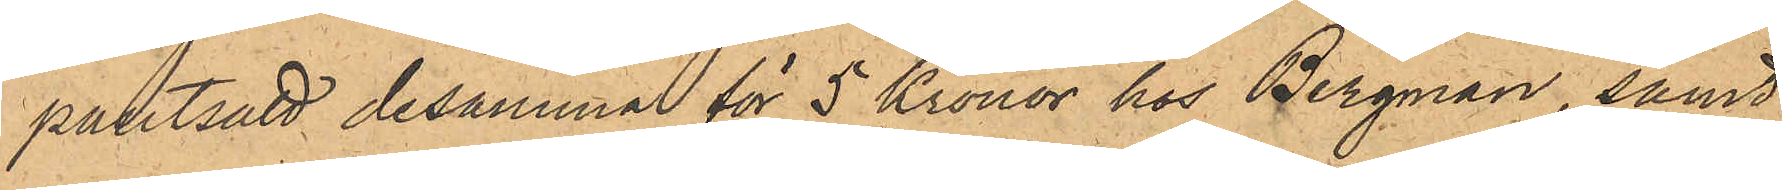pantsatt desamma för 5 Kronor hos Bergman, samt
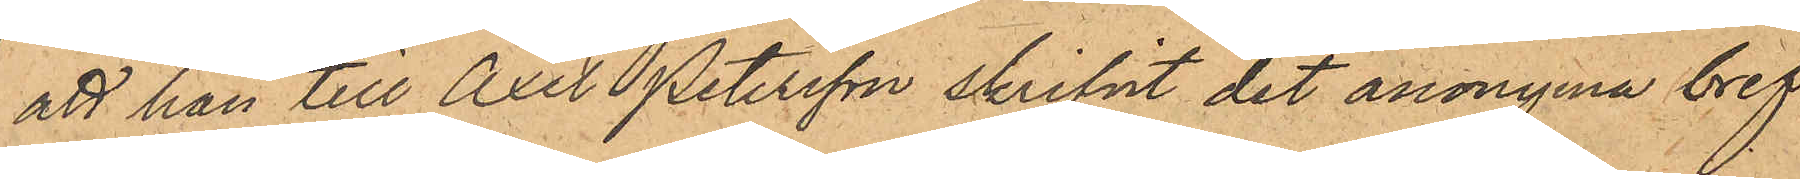att han till Axel Petersson skrifvit det anonyma bref¬
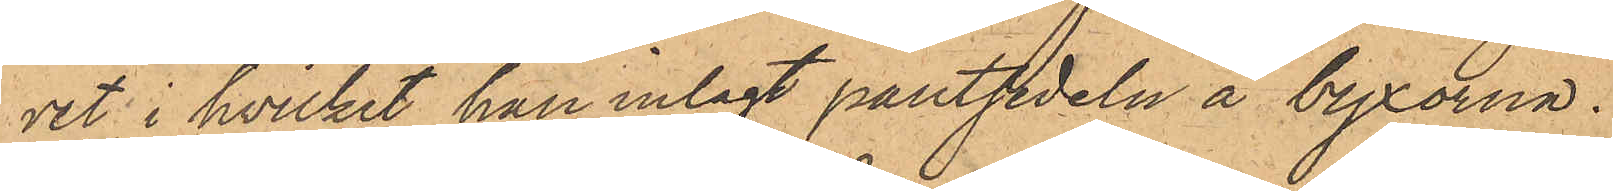vet, i hvilket han inlagt pantsedeln å byxorna.
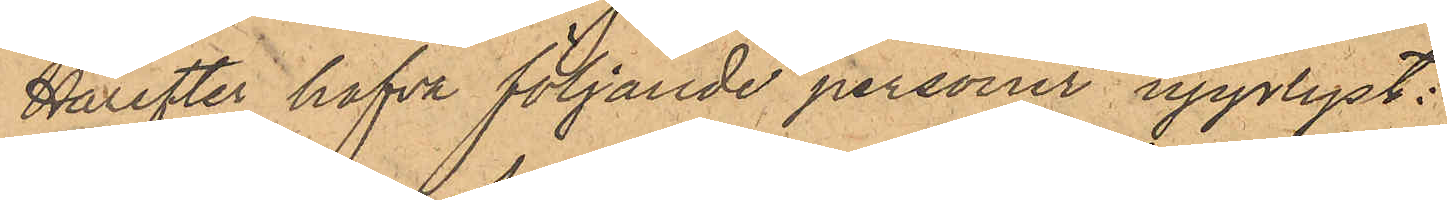Härefter hafva följande personer upplyst:
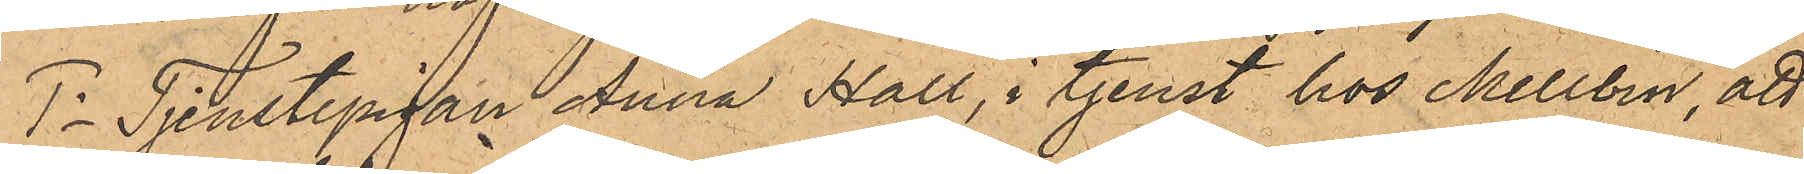1o Tjenstepigan Anna Hall, i tjenst hos Mellbin, att
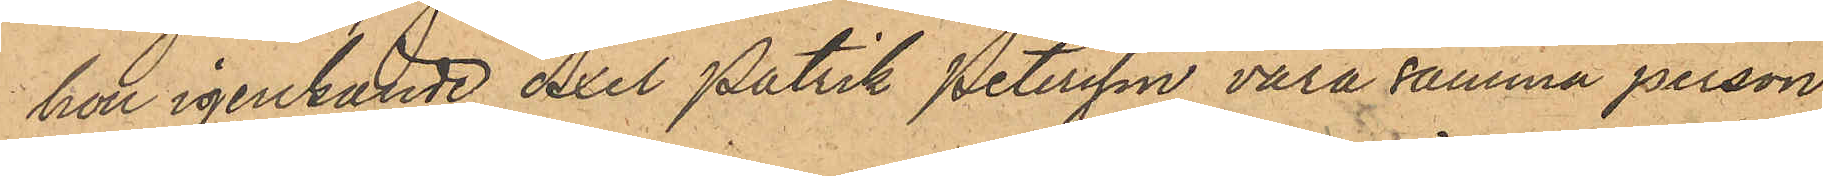hon igenkände Axel Patrik Petersson vara samma person,
